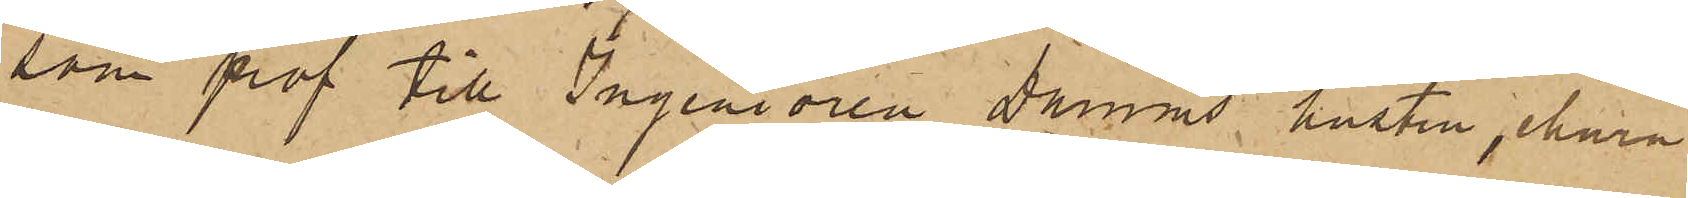som prof till Ingeniören Damms hustru, ehuru
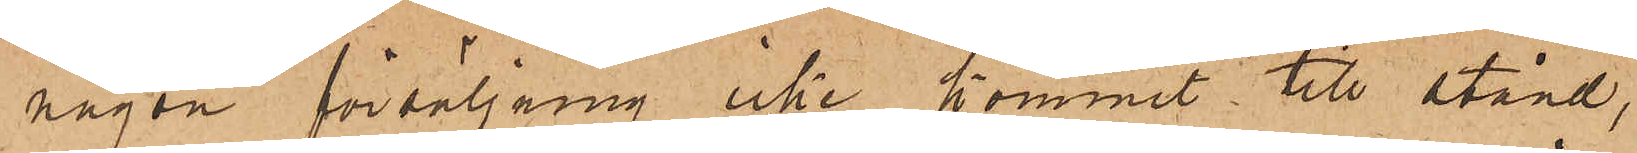någon försäljning icke kommit till stånd,
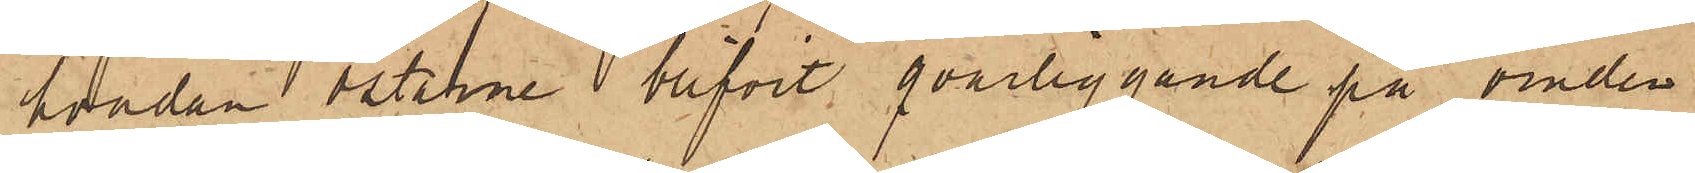hvadan ostarne blifvit qvarliggande på vinden
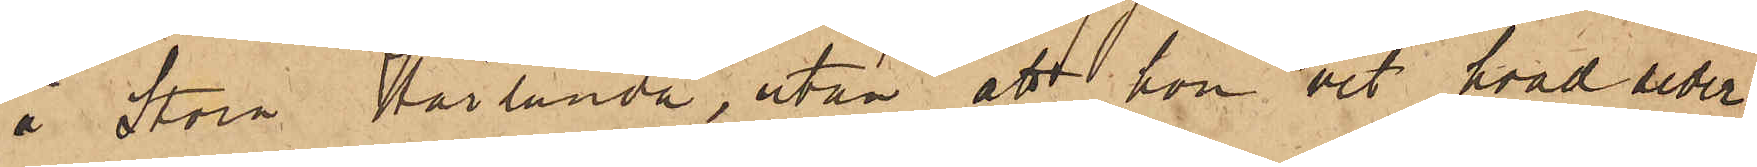å Stora Härlunda, utan att hon vet hvad seder¬
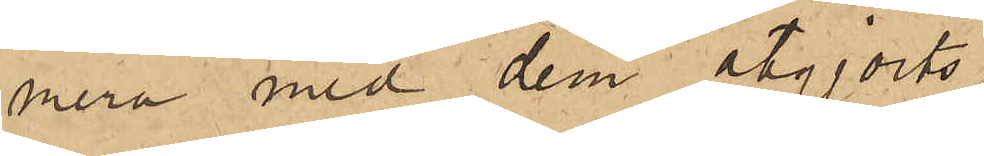mera med dem åtgjorts.
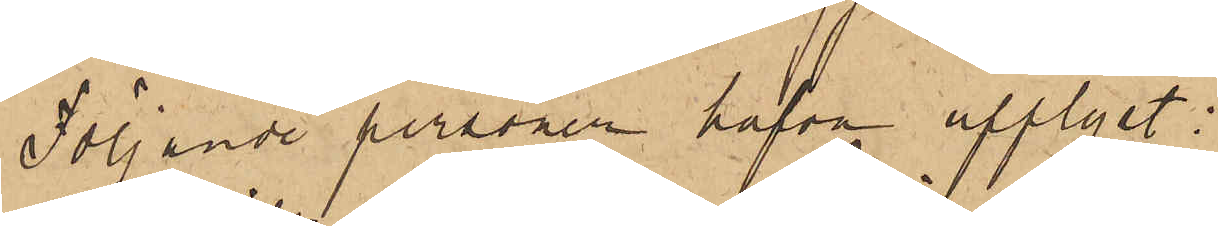Följande personer hafva upplyst:
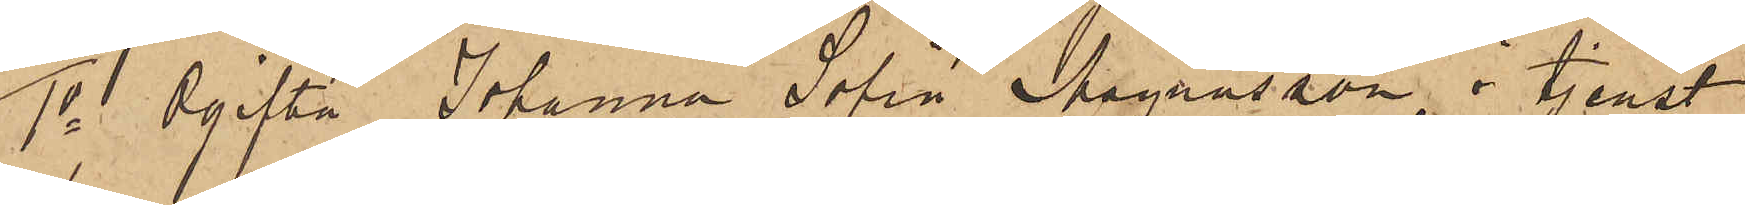1o Ogifta Johanna Sofia Magnusson, i tjenst
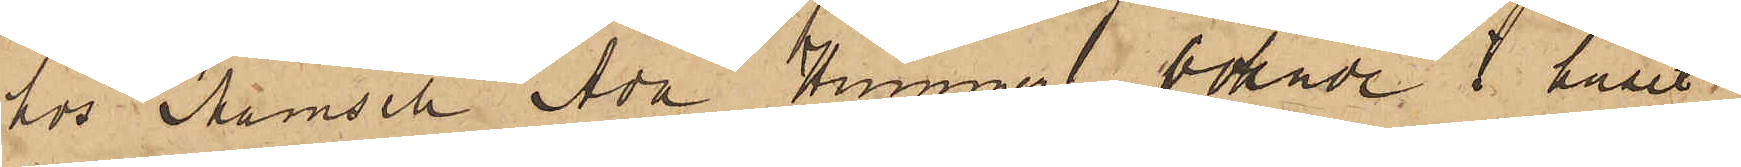hos Mamsell Ada Hummer, boende i huset
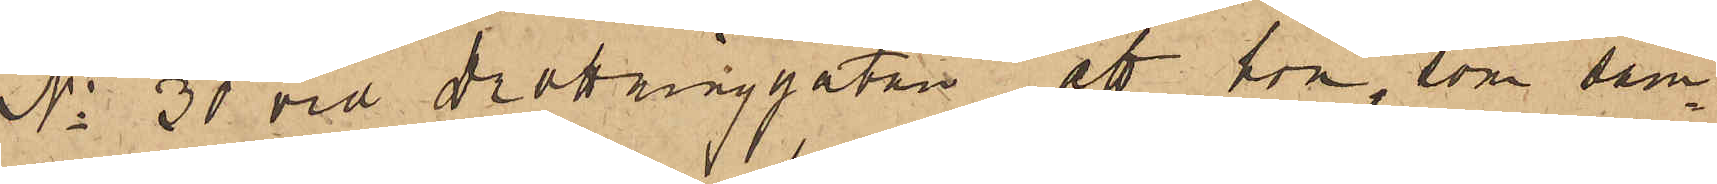No 30 vid Drottninggatan, att hon, som sam¬
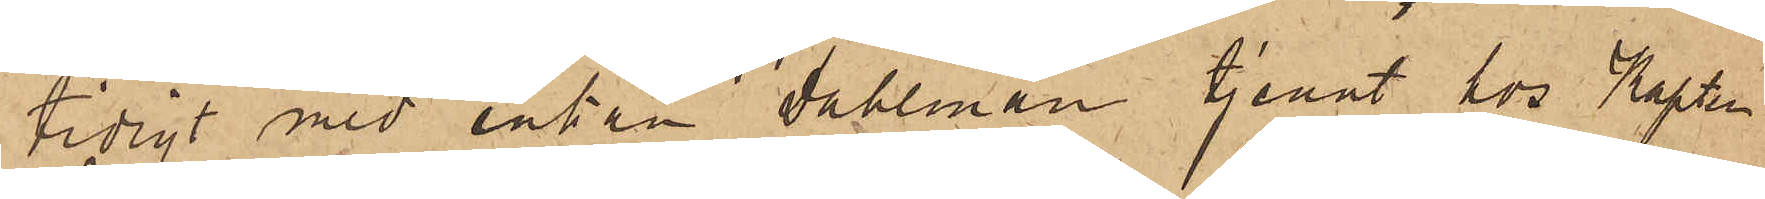tidigt med enkan Dahlman tjenat hos Kapten
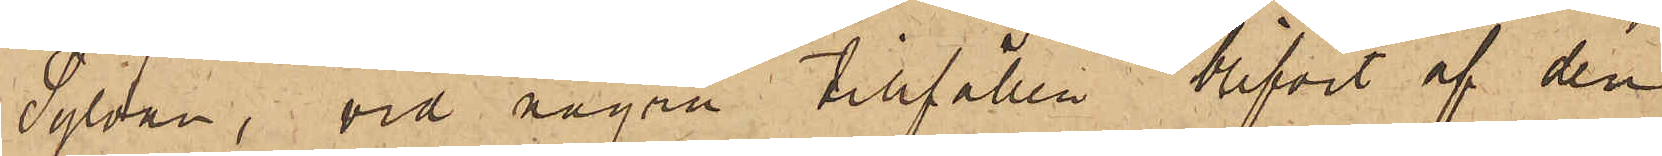Sylvan, vid några tillfällen blifvit af den
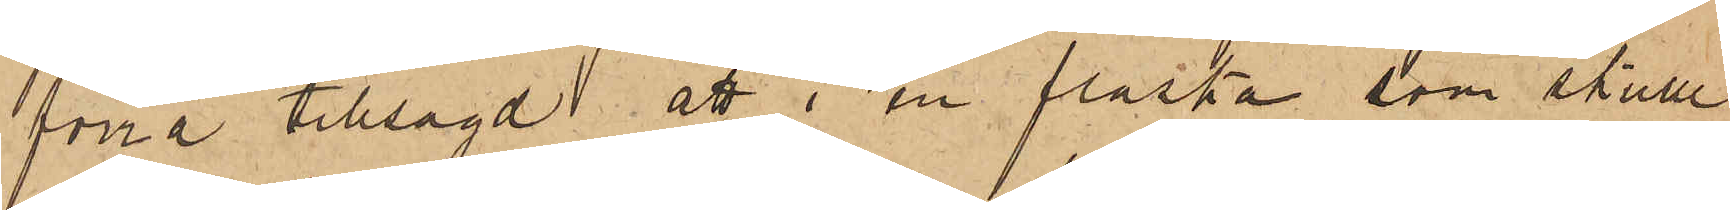förra tillsagd att i en flaska, som skulle
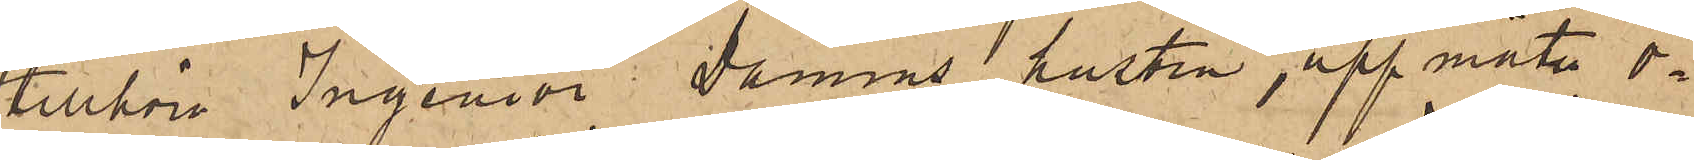tillhöra Ingeniör Damms hustru, uppmäta o¬
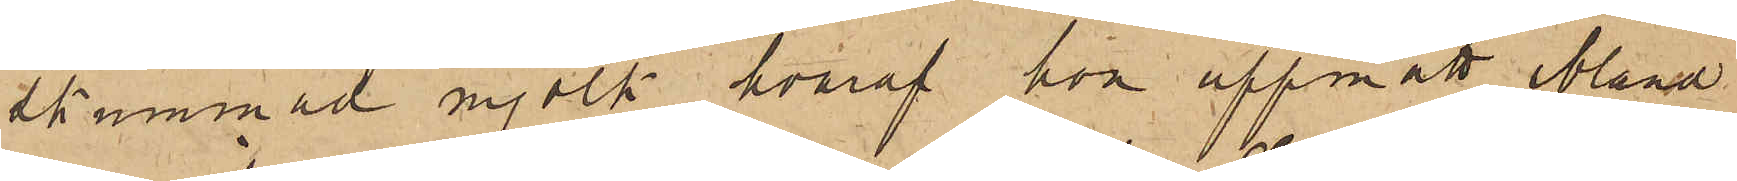skummad mjölk, hvaraf hon uppmätt ibland
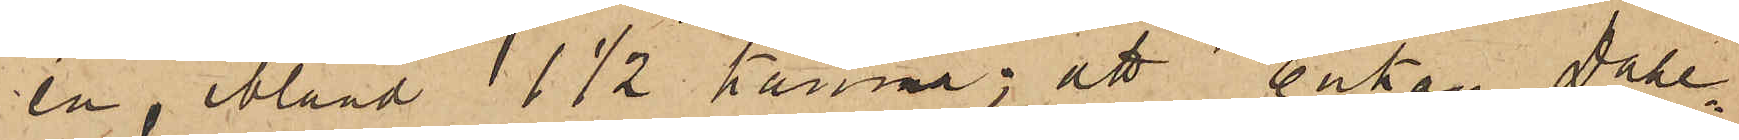en, ibland 1 1/2 kanna; att enkan Dahl¬
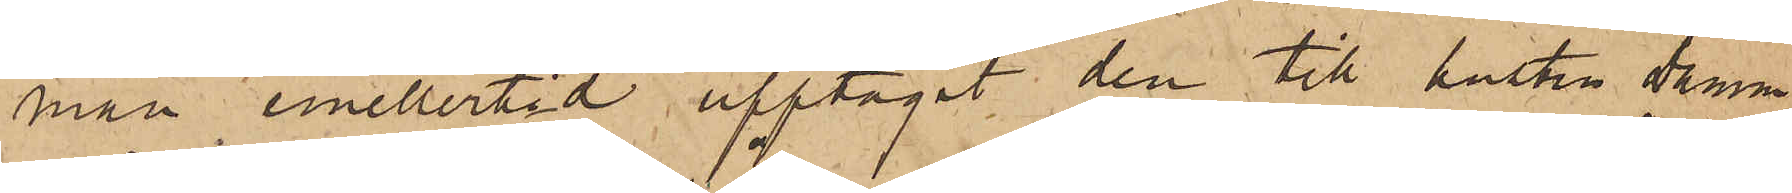man emellertid upptagit den till hustru Damm
